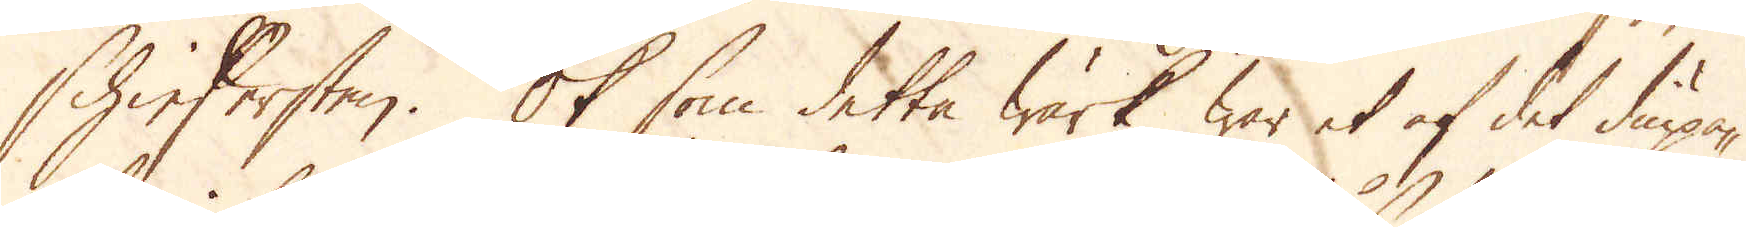Schiefersten. Ok som detta Wärk war et af det diupa-
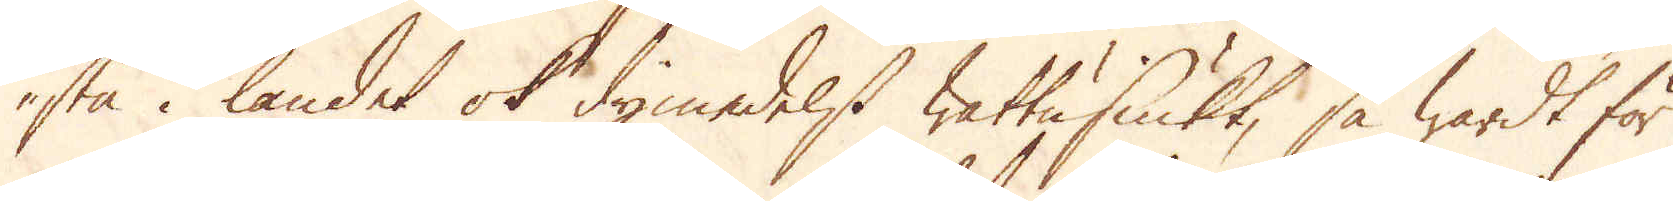sta i landet ok dymedelst wattusiukt, så wardt för
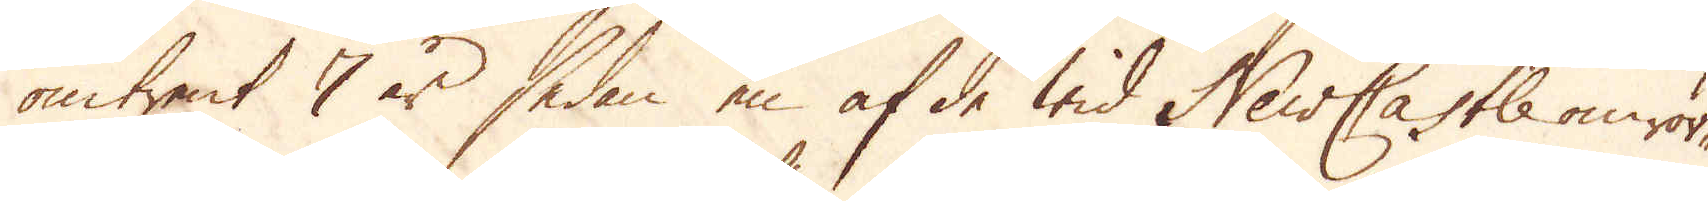omtrent 7 år sedan en af de wid NewCastle omrör-
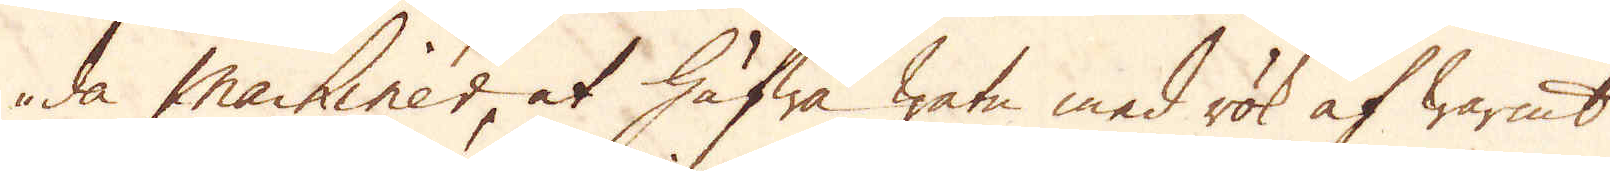de machiner at häfwa watn med rök af warmt
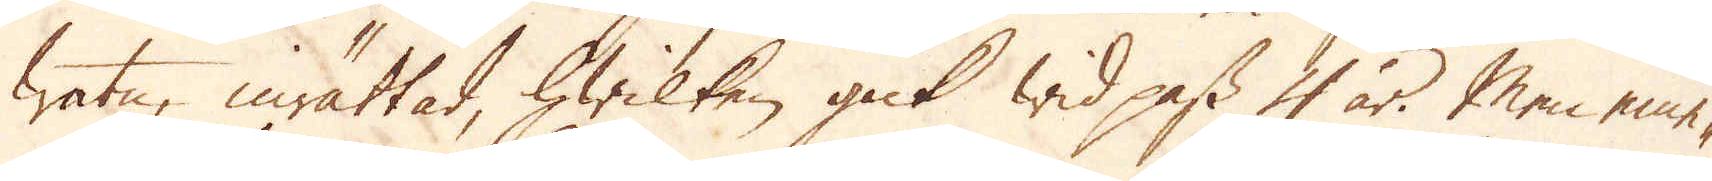watn, inrättat, hwilken gick wid pass 4 år. Men eme-
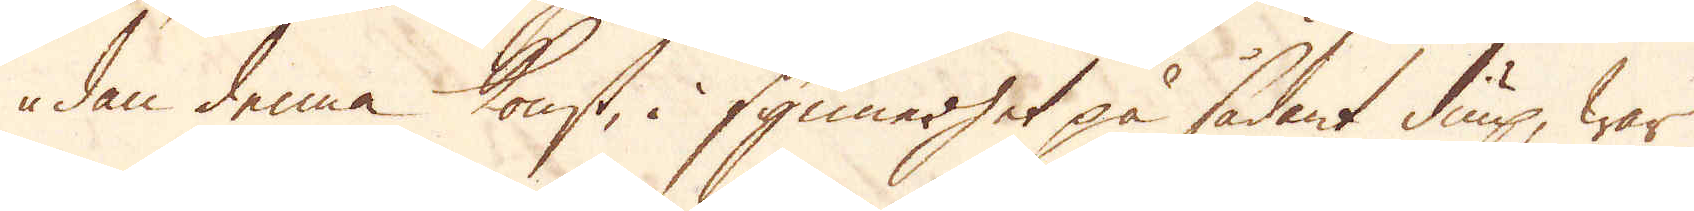dan denna konst, i synnerhet på sådant diup, war
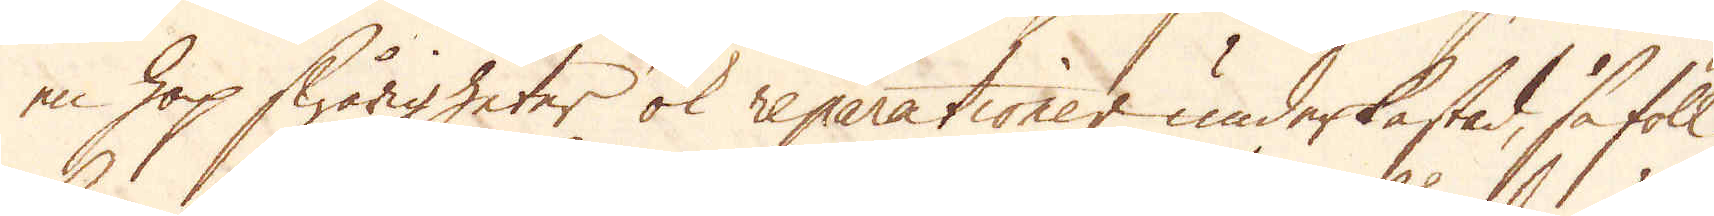en hop swårigheter ok reparationer underkastad, så föll
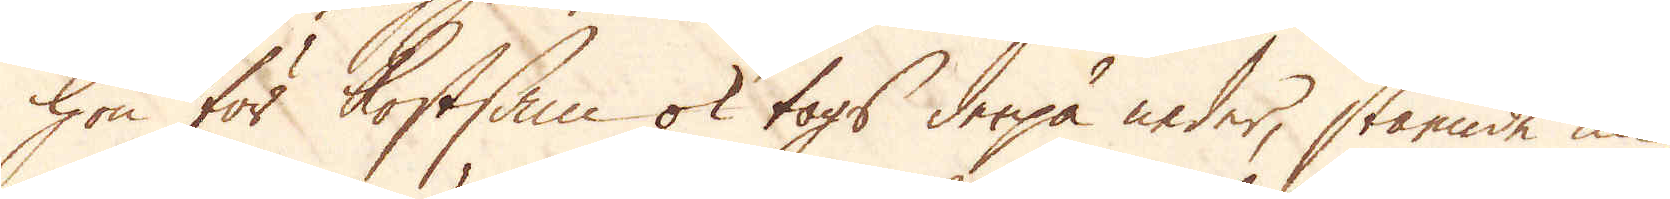hon för kostsam ok togs derpå neder, stående nu
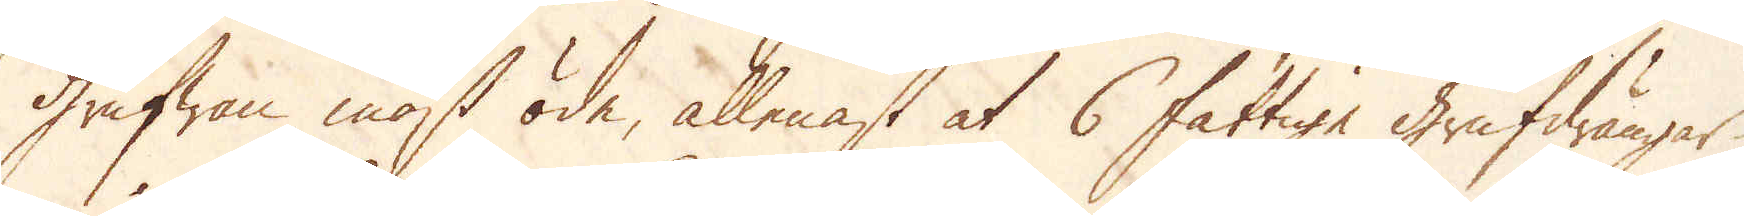Grufwan mäst öde, allenast at 6 fattige Grufdrängar,
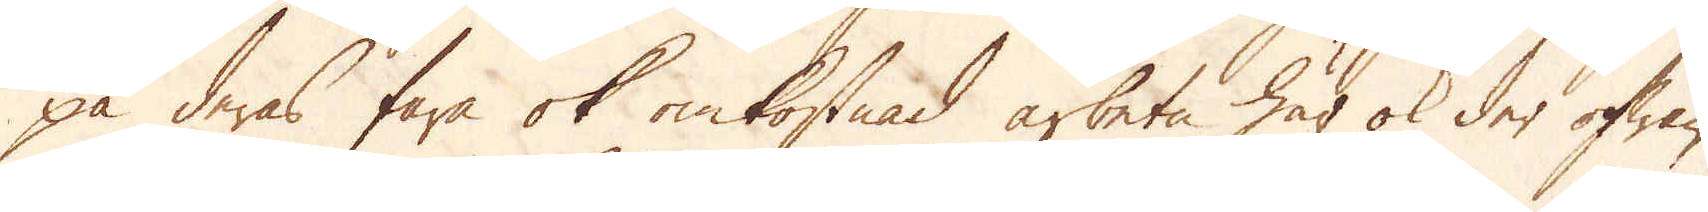på deras fara ok omkostnad arbeten här ok der ofwan
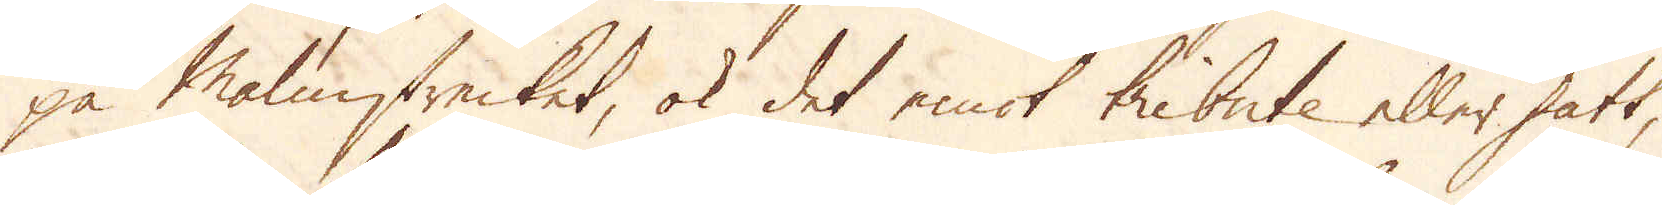på Malmstrecket, ok det emot tribute eller satt,
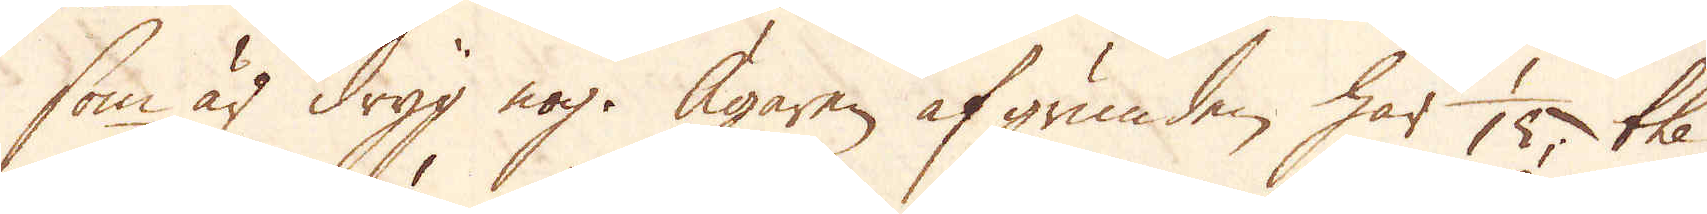som är dryg nog. Ägaren af grunden, har 1/15 the
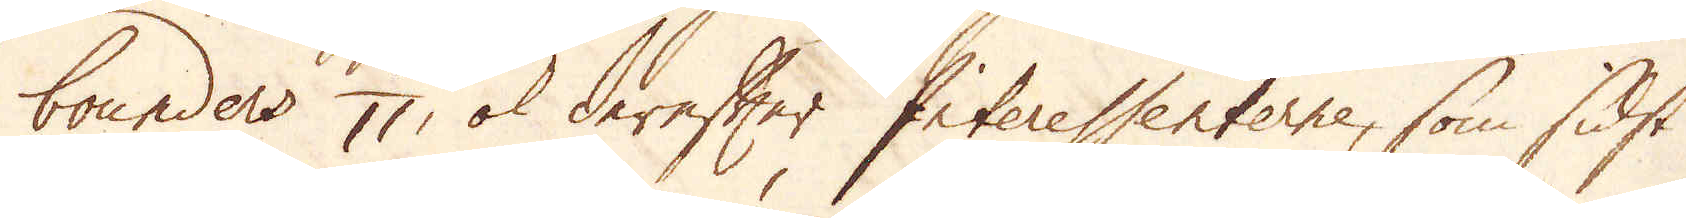bounders 1/11, ok derefter Interessenterne, som sidst
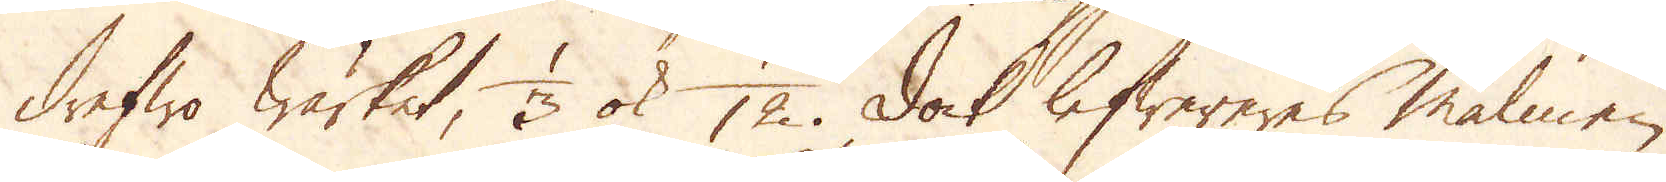drefwa Wärket, 1/3 ok 1/12. Dock lefwereres malmen
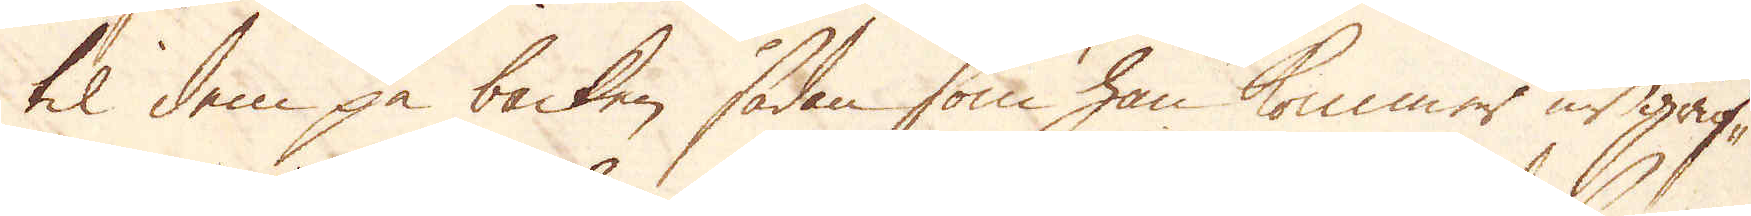til dem på backen sådan som han kommer ur gruf-
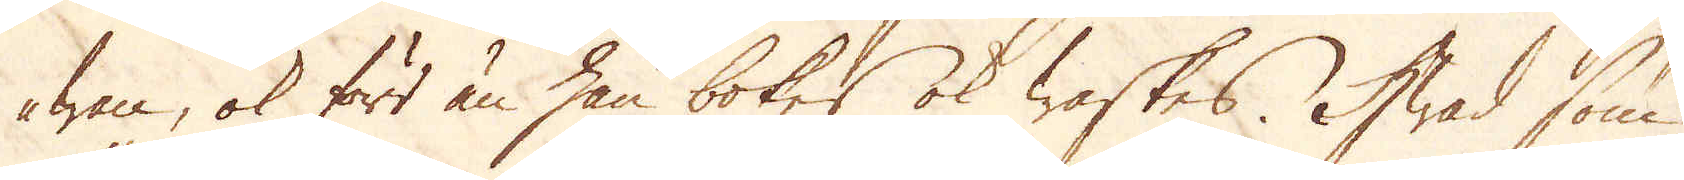wan, ok förr än han bokes ok waskes. Hwad som
